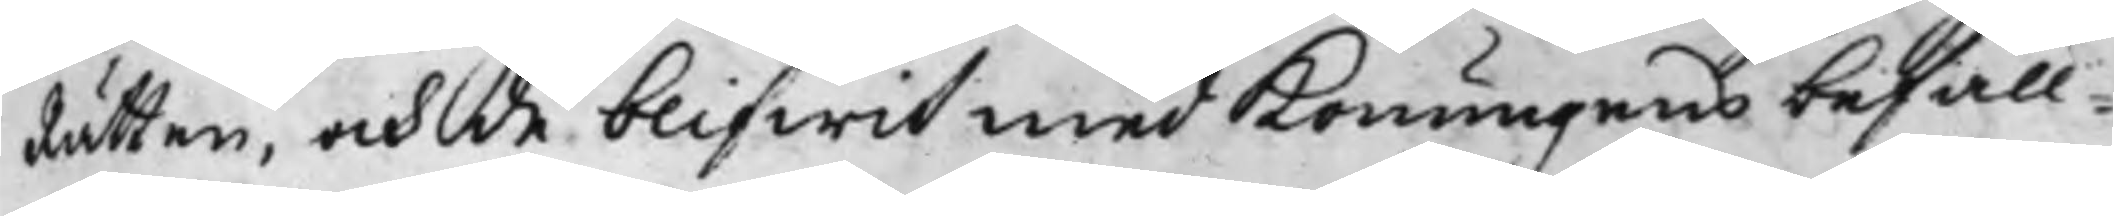Rätten, och de blifwit med Konungens befall¬
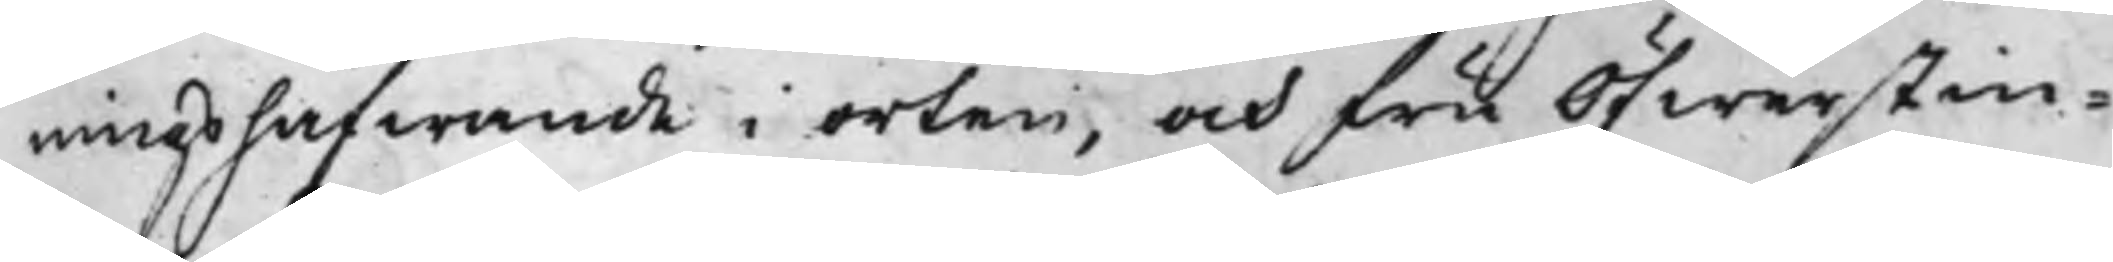ningshafwande i orten, och fru Öfwerstin¬
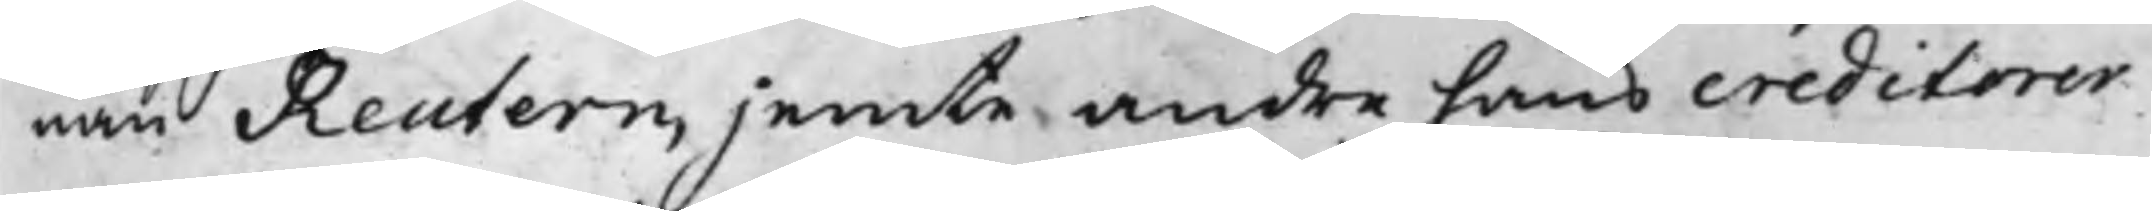nan Reutern, jemte andra hans creditorer
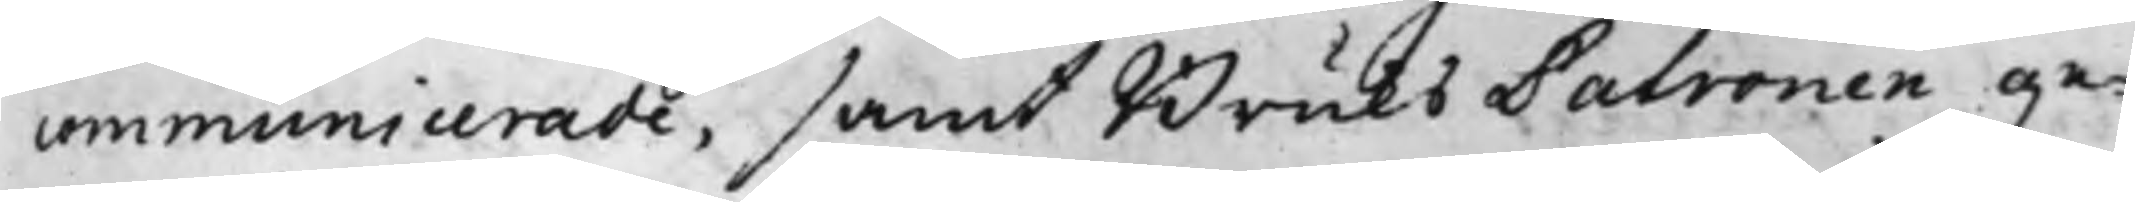communicerade, samt BruksPatronen ge¬
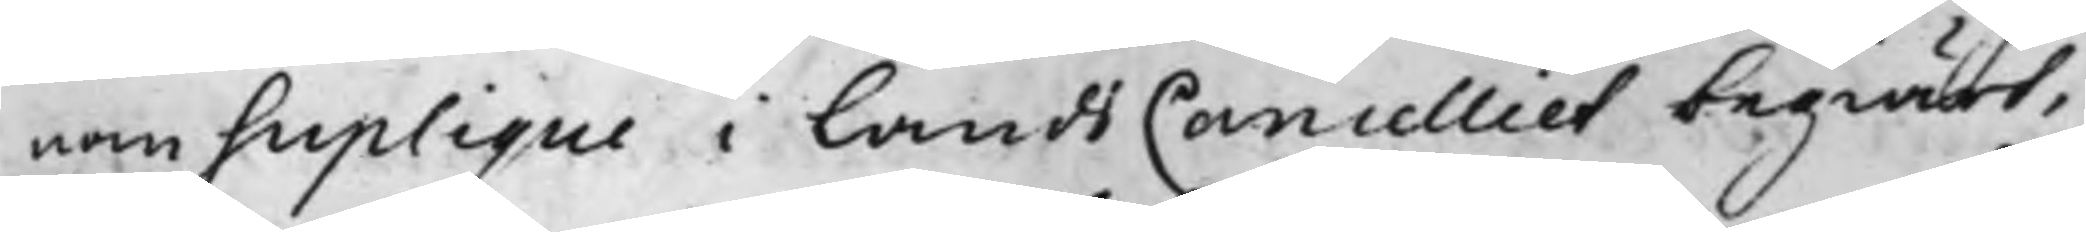nom Suplique i LandsCancelliet begiärt,
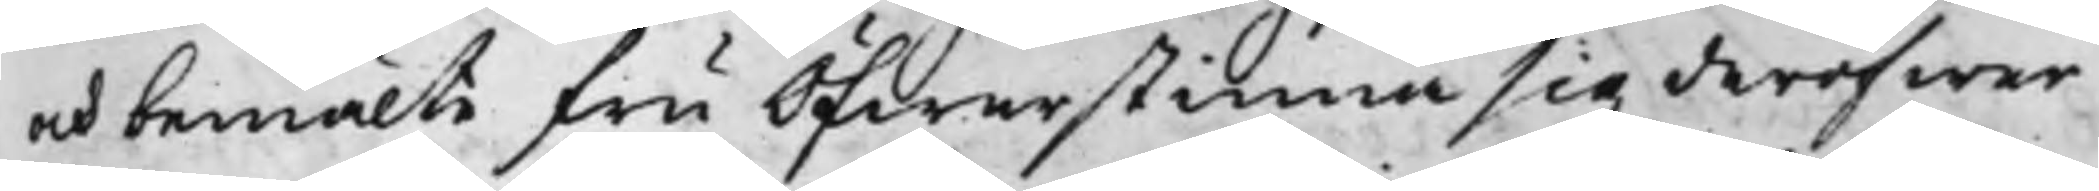och bemälte fru Öfwerstinna sig deröfwer
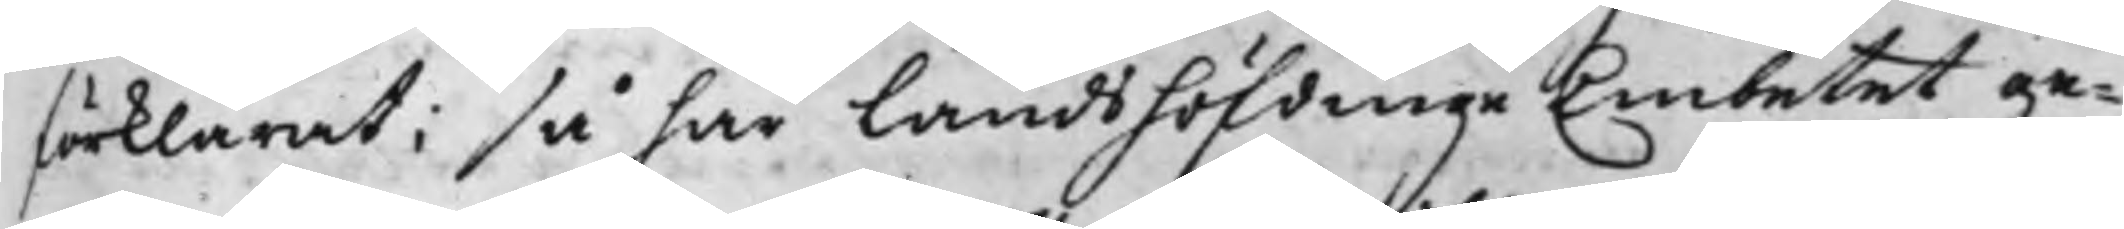förklarat; så har Landshöfdinge Embetet ge¬
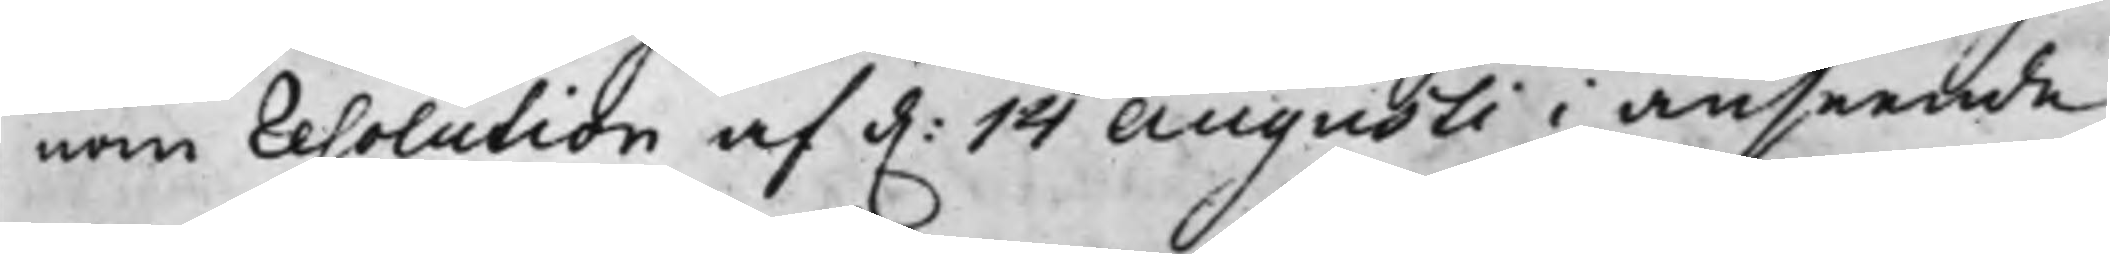nom Resolution af d. 14 Augusti i anseende
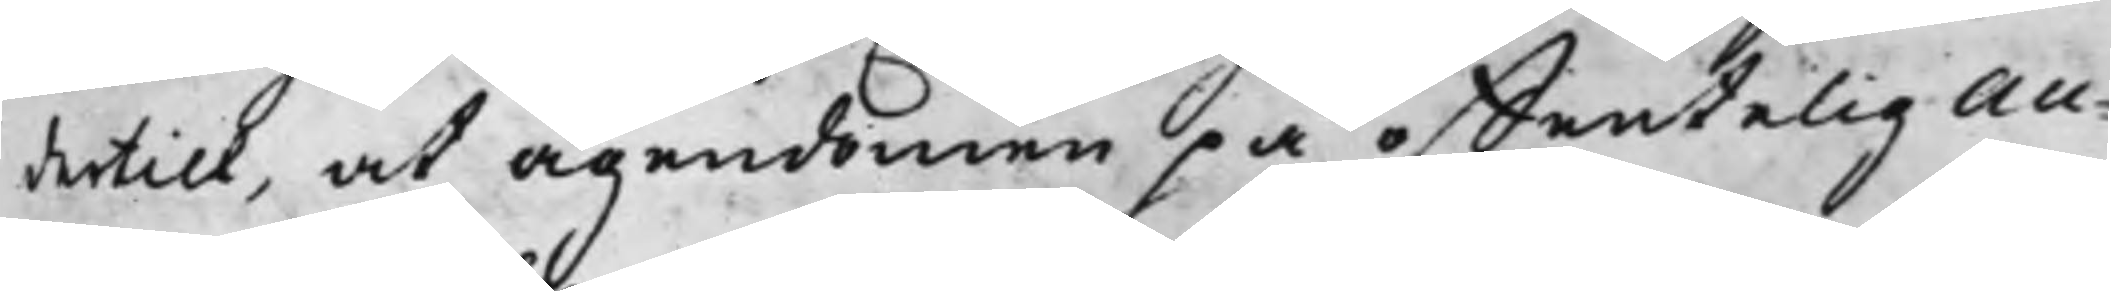dertill, at ägendomen på offentelig Au¬
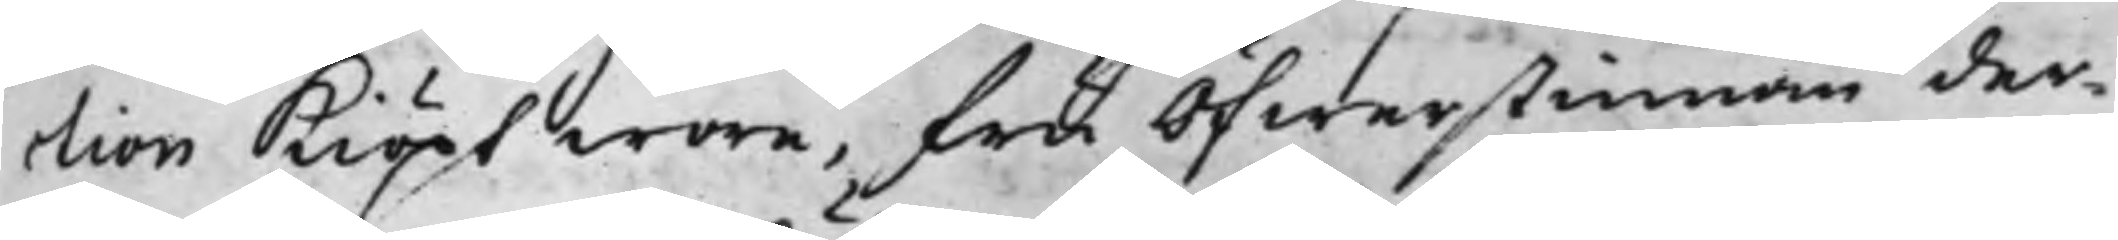ction kiöpt wore, fru Öfwerstinnan der¬
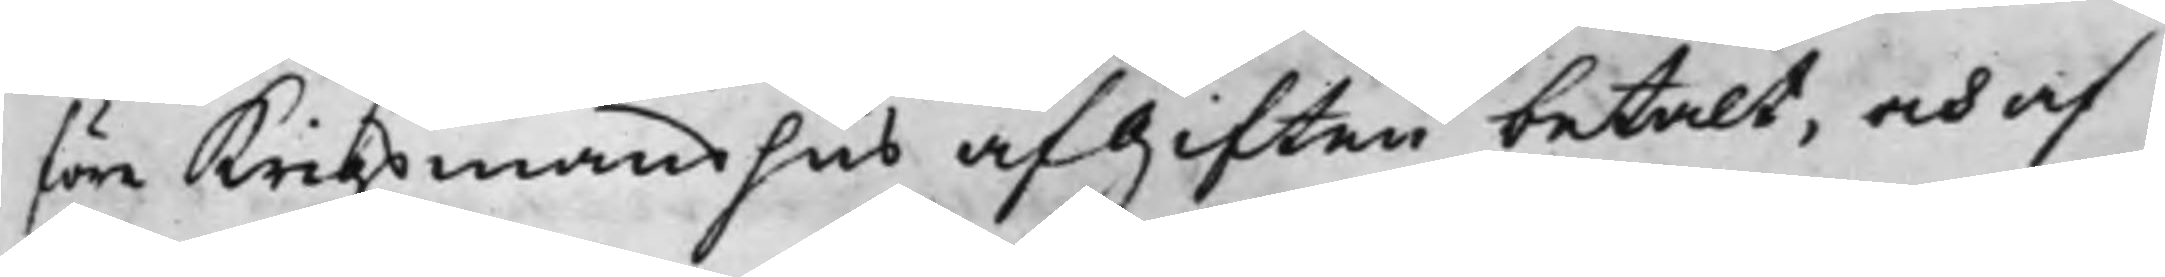före krigsmanshus afgiften betalt, och af
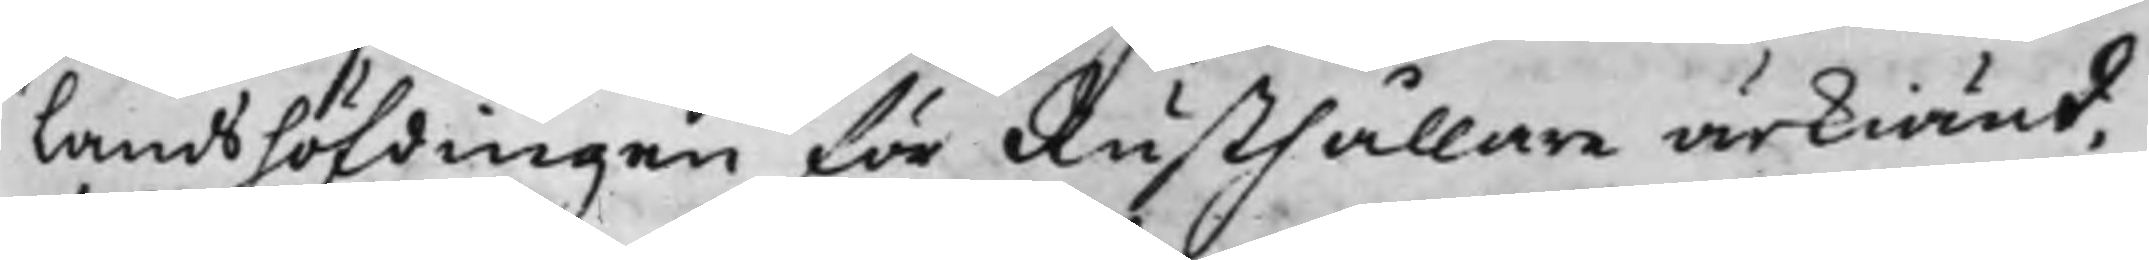Landshöfdingen för Rusthållare ärkiänd,
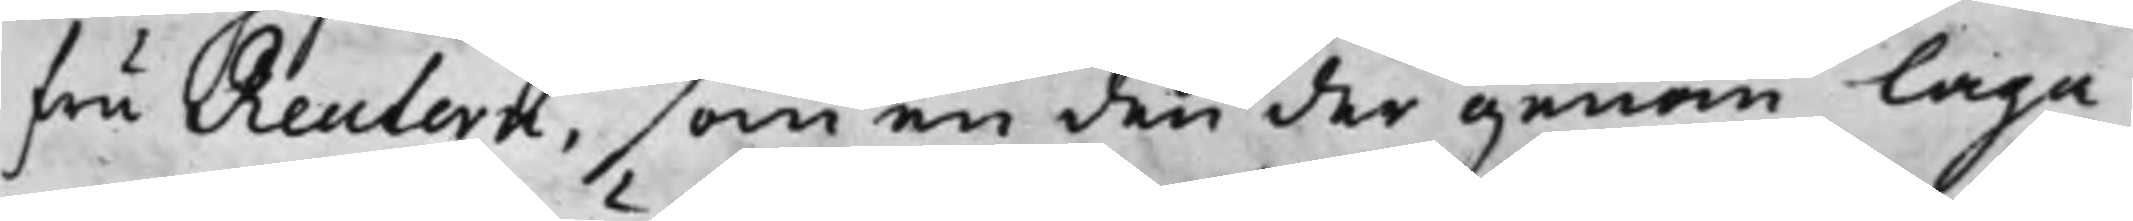fru Reutern, som en den der genom laga
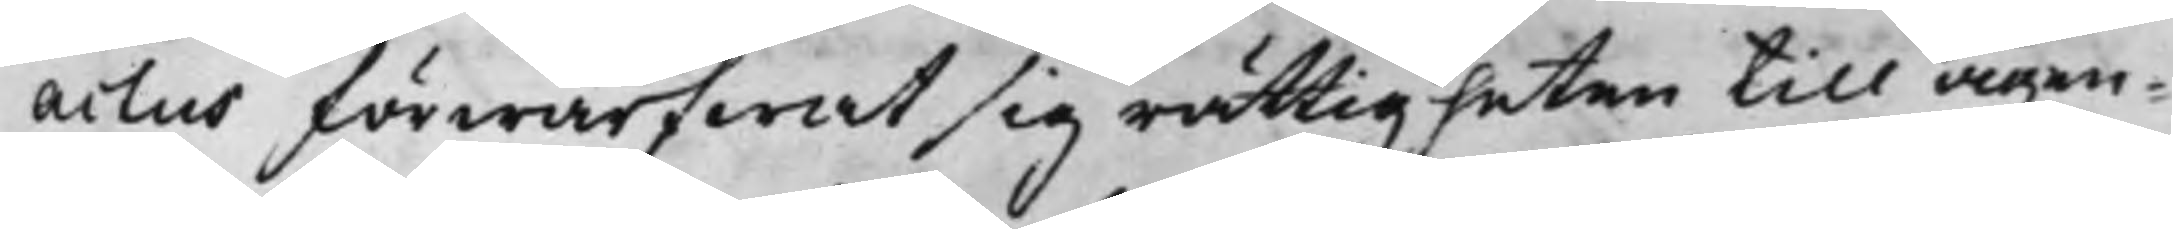actus förwärfwat sig rättigheten till ägen¬
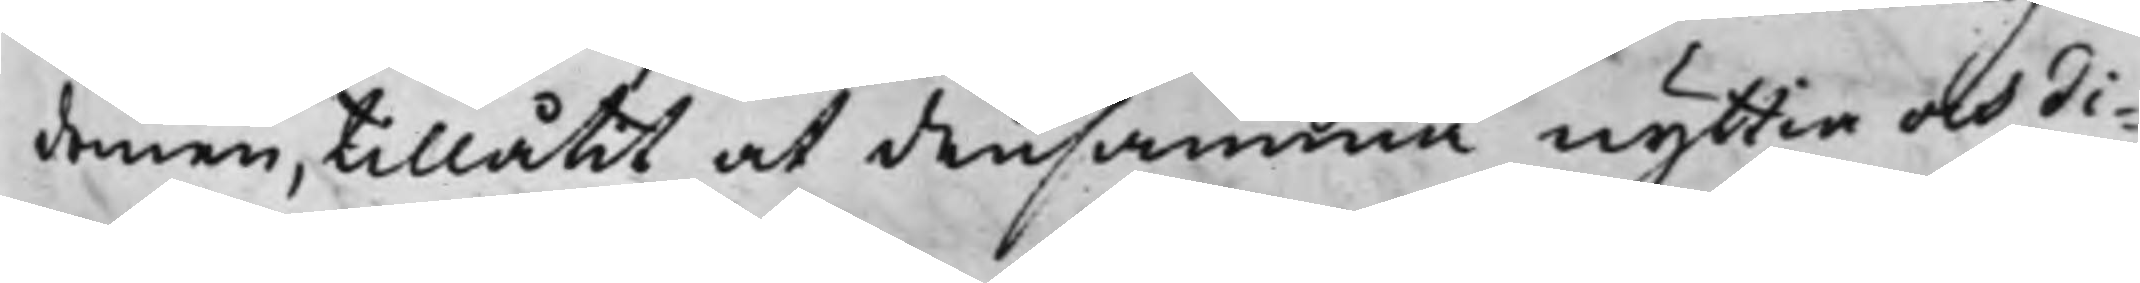domen, tillåtit at densamma nyttia och di¬
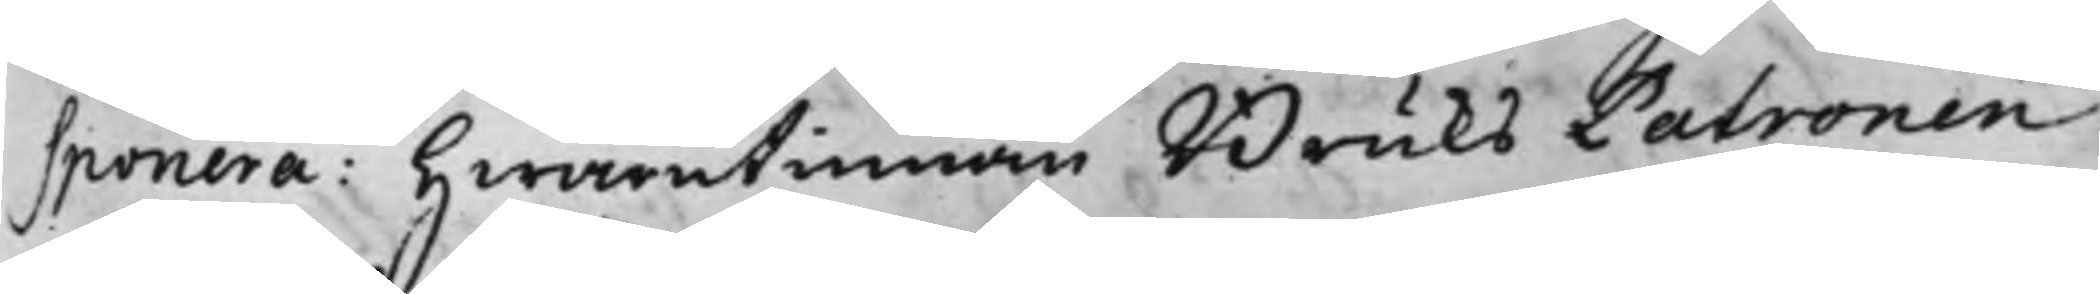sponera: Hwarutinnan Bruks Patronen
